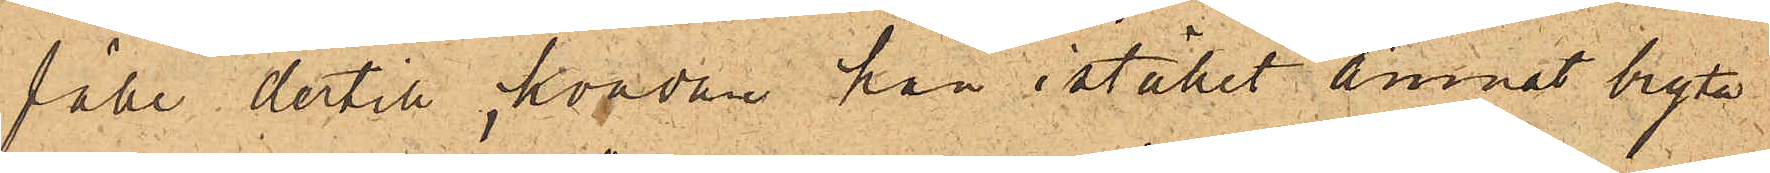fälle dertill, hvadan han istället ämnat bryta
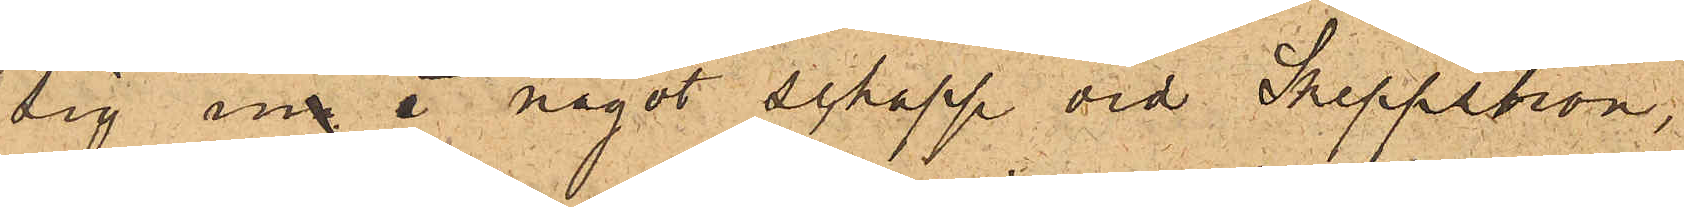sig in i något schapp vid Skeppsbron,
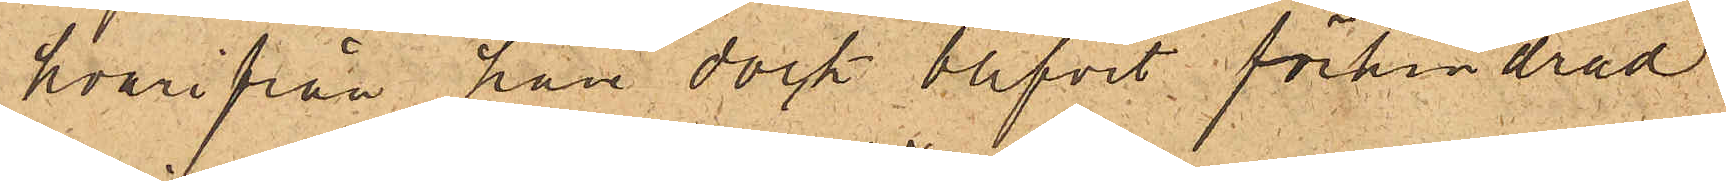hvarifrån han dock blifvit förhindrad
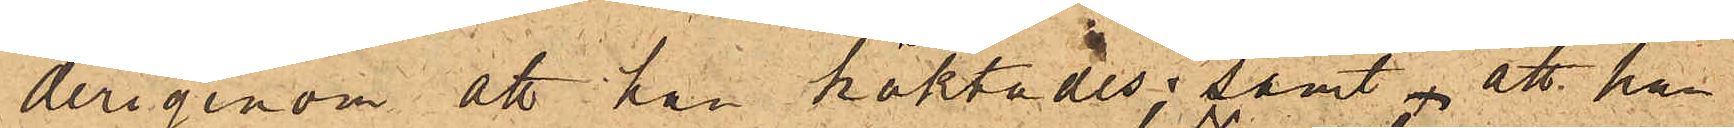derigenom att han häktades; samt att han
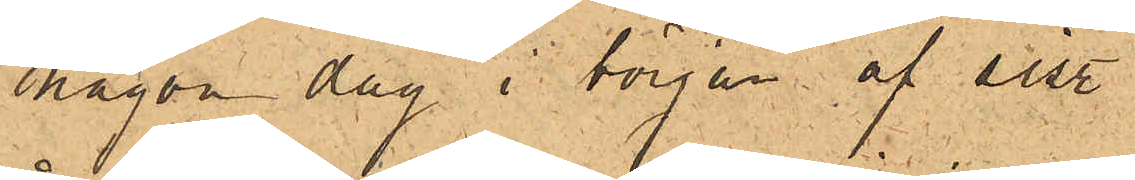någon dag i början af sist.
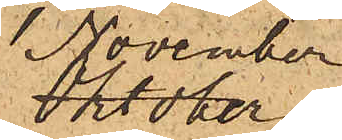November
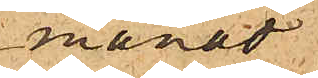månad
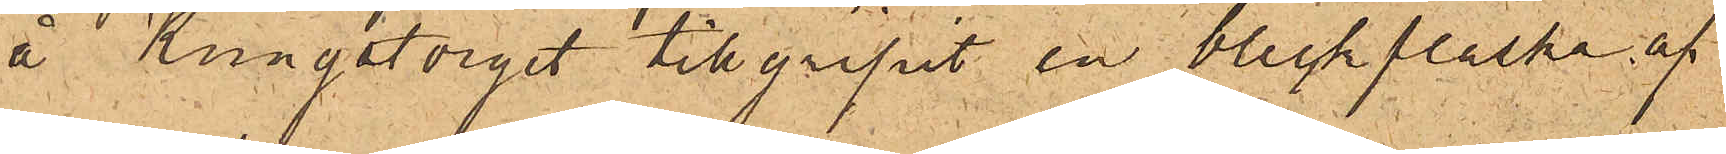å Kungstorget tillgripit en bleckflaska af
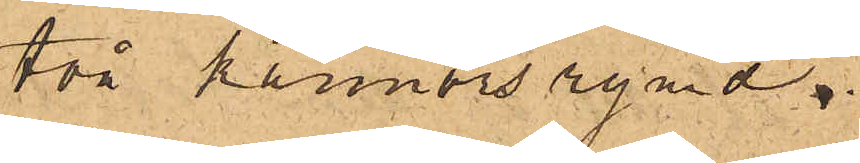två kannors rymd.
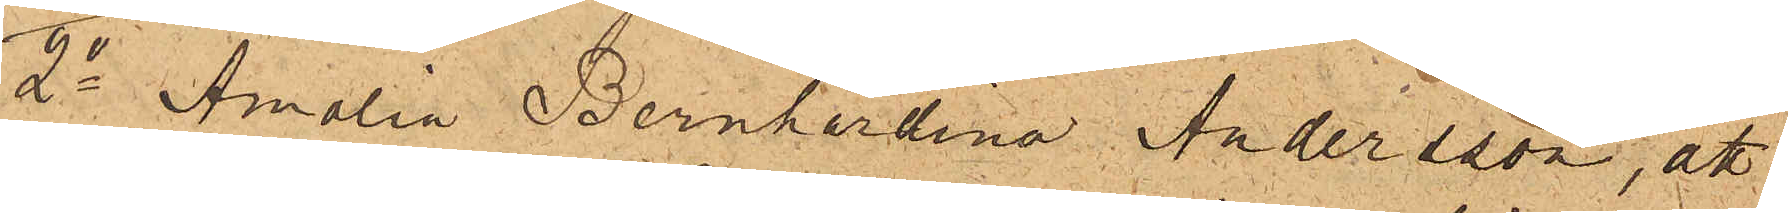2o Amalia Bernhardina Andersson, att
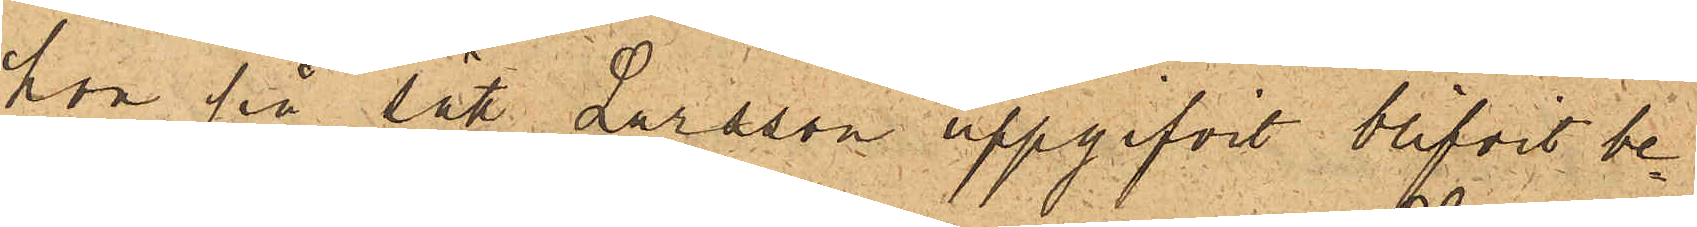hon på sätt Larsson uppgifvit blifvit be¬
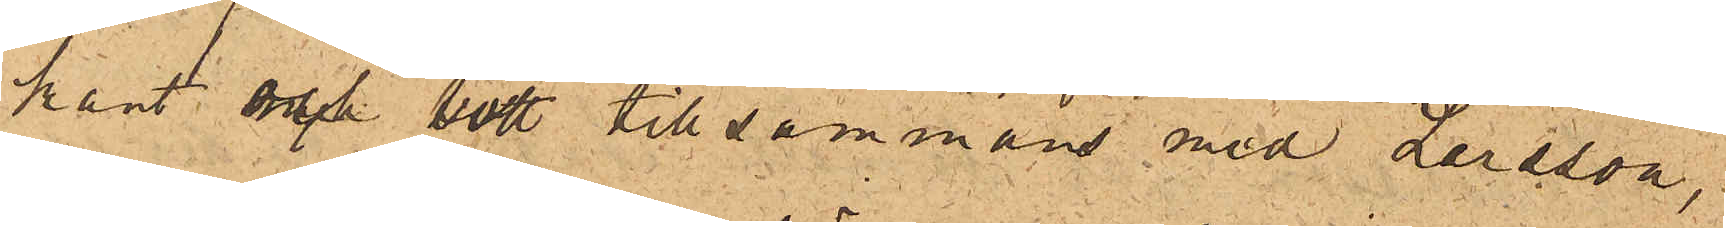kant och bott tillsammans med Larsson,
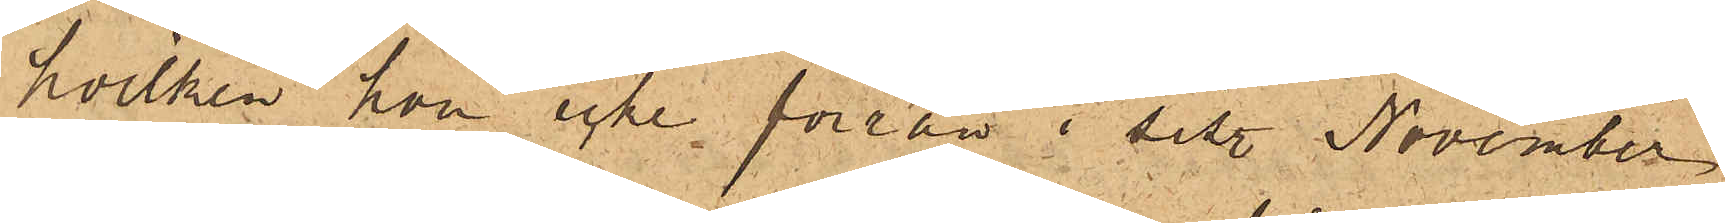hvilken hon icke förrän i sist. November
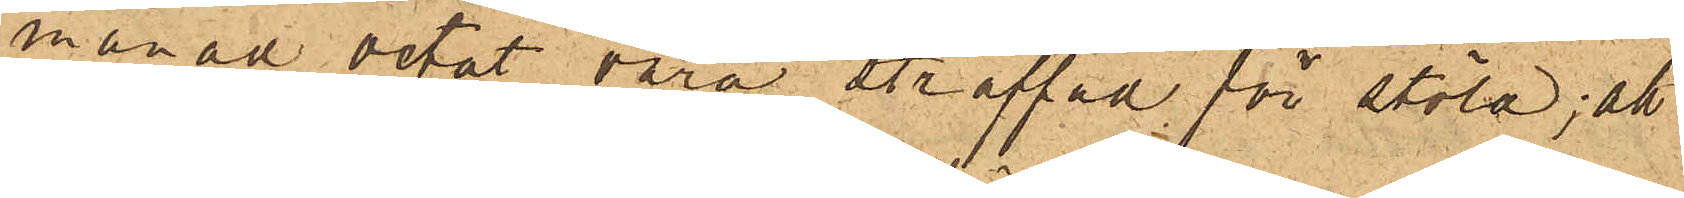månad vetat vara straffad för stöld; att
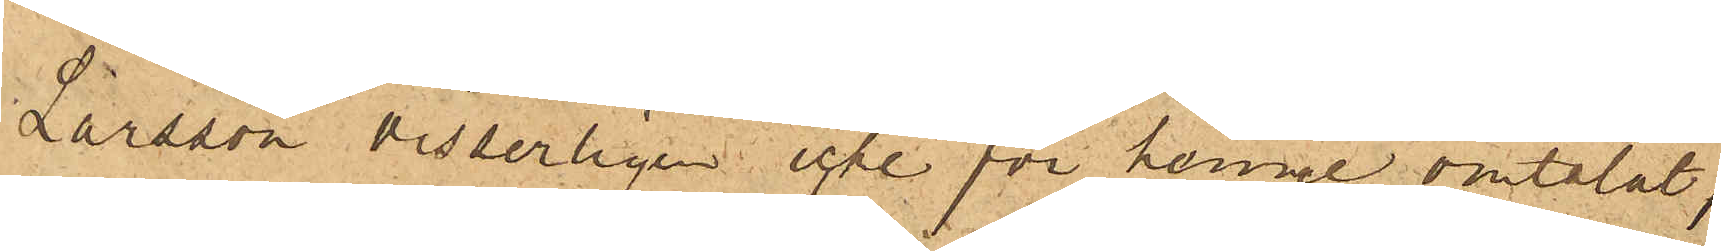Larsson visserligen icke för henne omtalat,
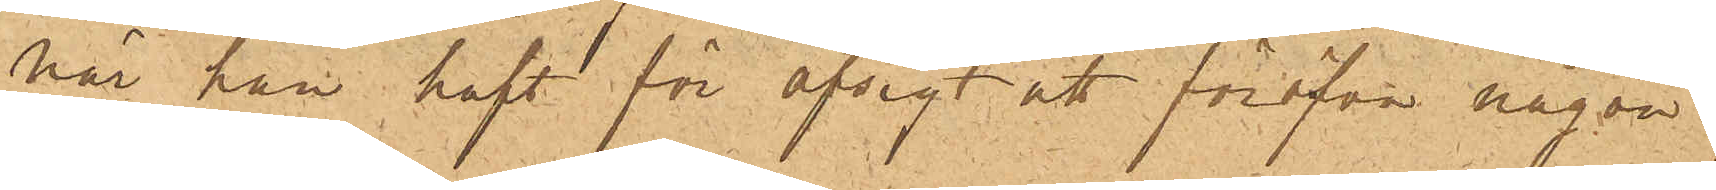när han haft för afsigt att föröfva någon
